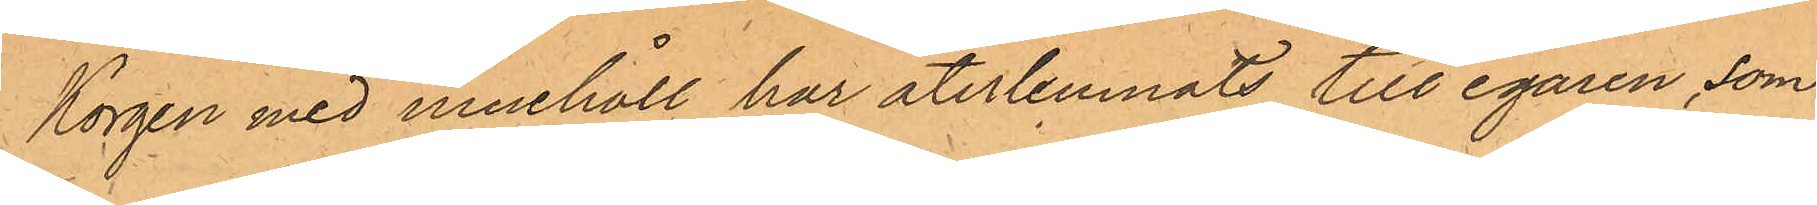Korgen med innehåll har återlemnats till egaren, som
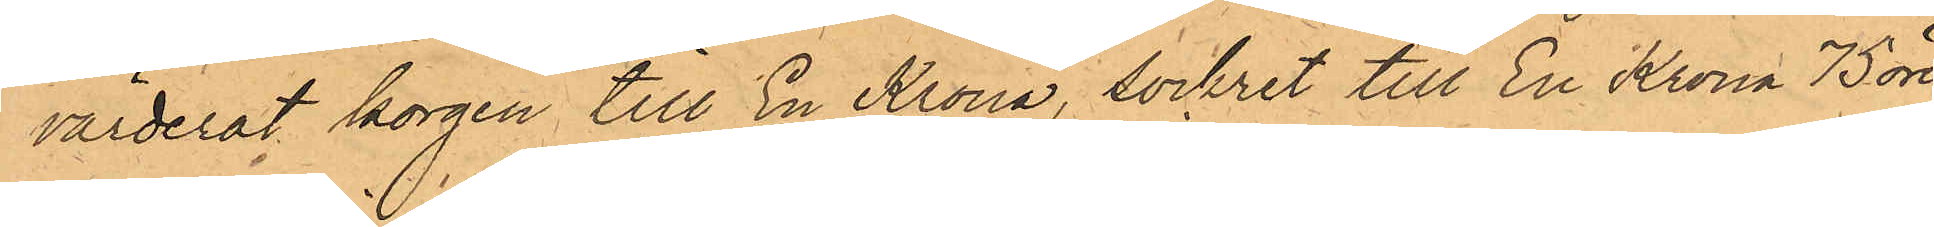värderat korgen till En Krona, sockret till En Krona 75 öre
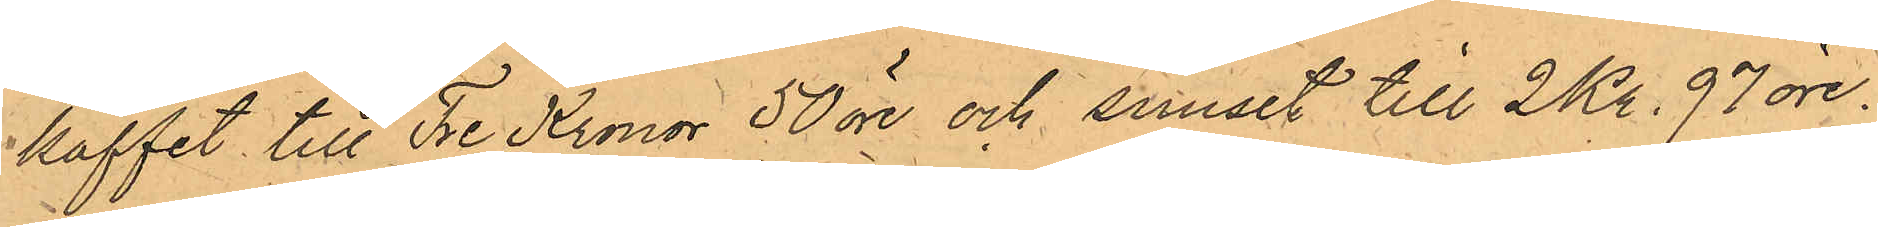kaffet till Tre Kronor 50 öre och snuset till 2 Kr. 97 öre.
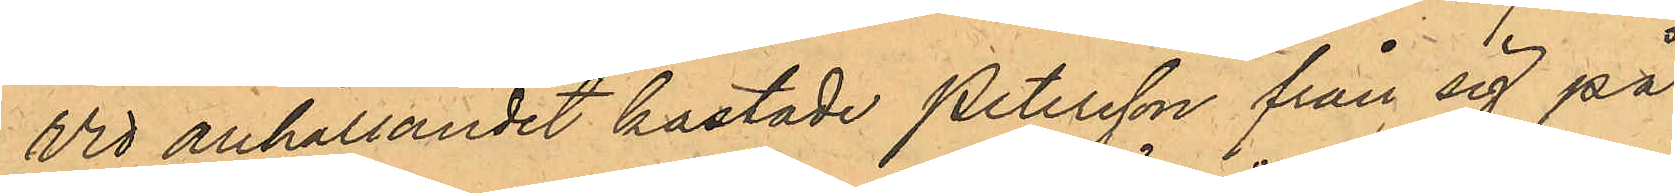Vid anhållandet kastade Petersson från sig på
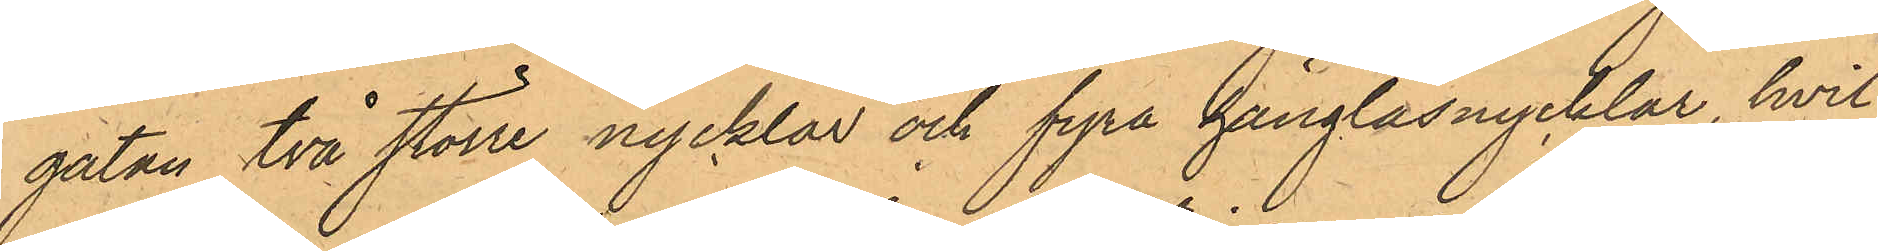gatan två större nycklar och fyra hänglåsnycklar, hvil¬
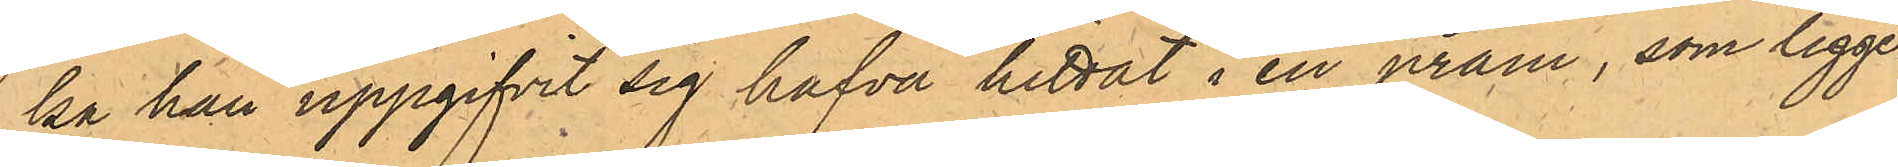ka han uppgifvit sig hafva hittat i en pråm, som ligger
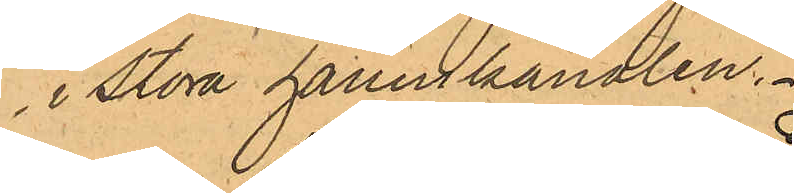i Stora hamnkanalen.
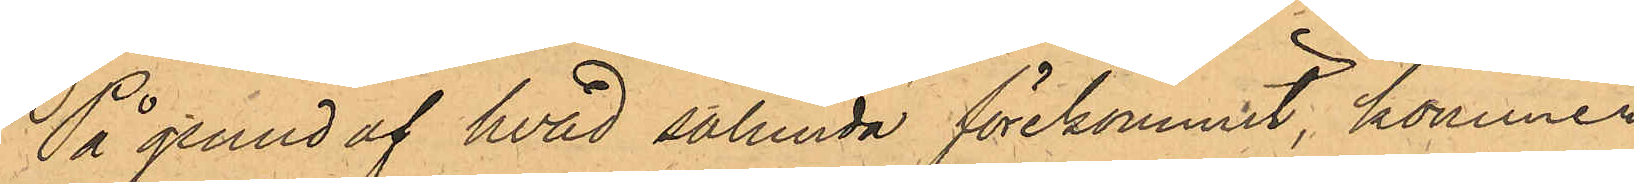På grund af hvad sålunda förekommit, kommer
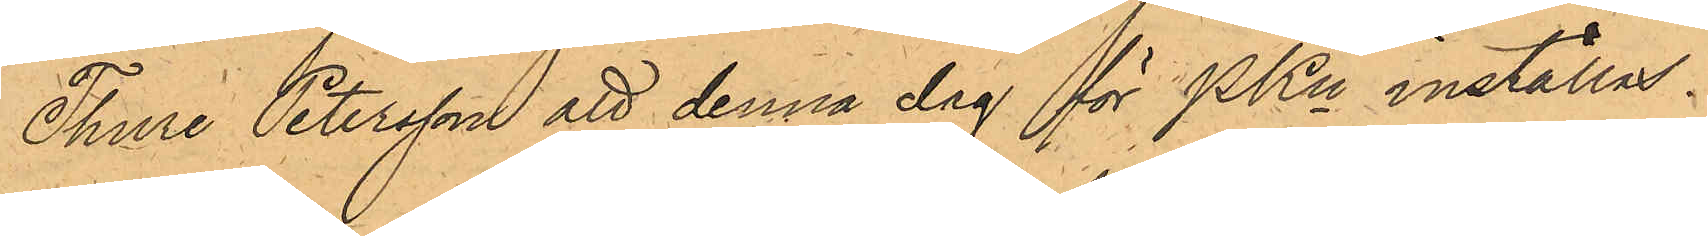Thure Petersson att denna dag för PKn inställas.
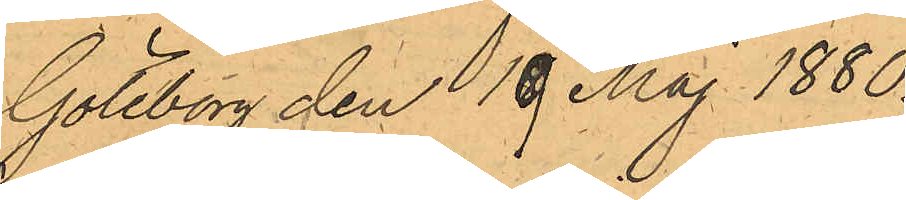Göteborg den 19 Maj 1880.
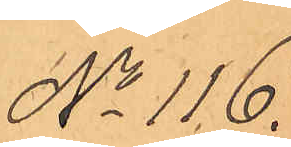No 116.
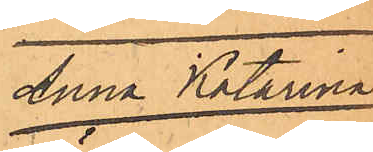Anna Katarina
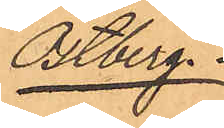Östberg.
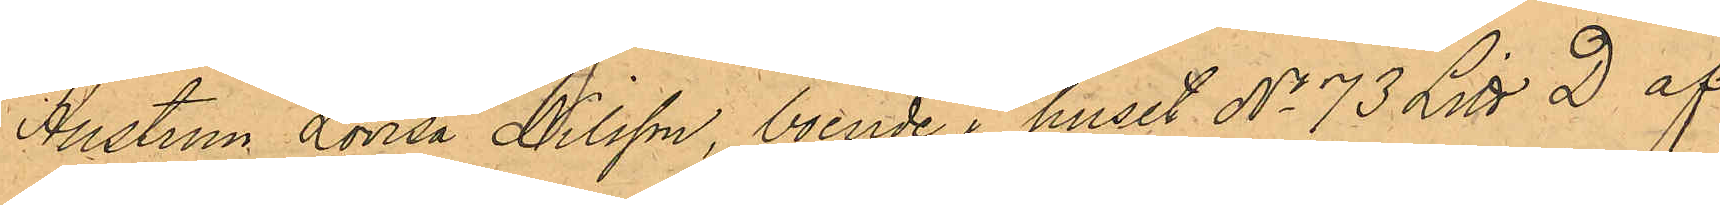Hustrun Lorisa Nilsson, boende i huset No 73 Litt D af
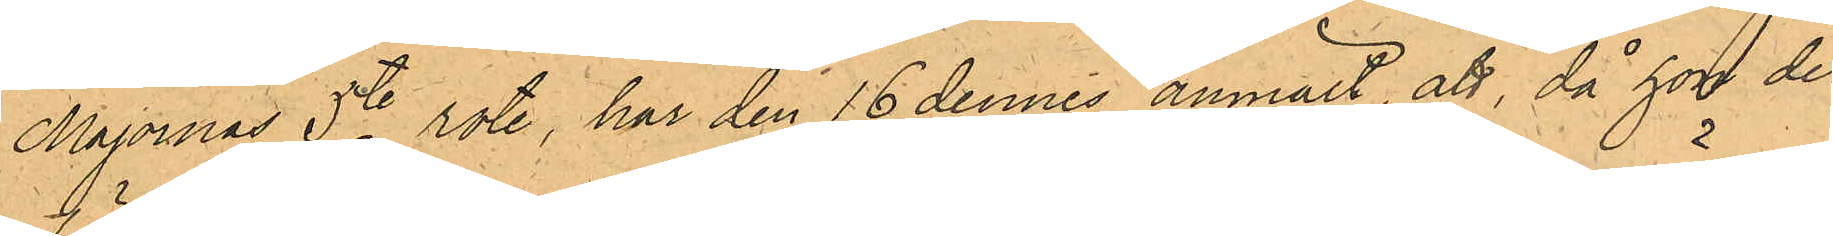Majornas 5te rote, har den 16 dennes anmält, att, då hon der
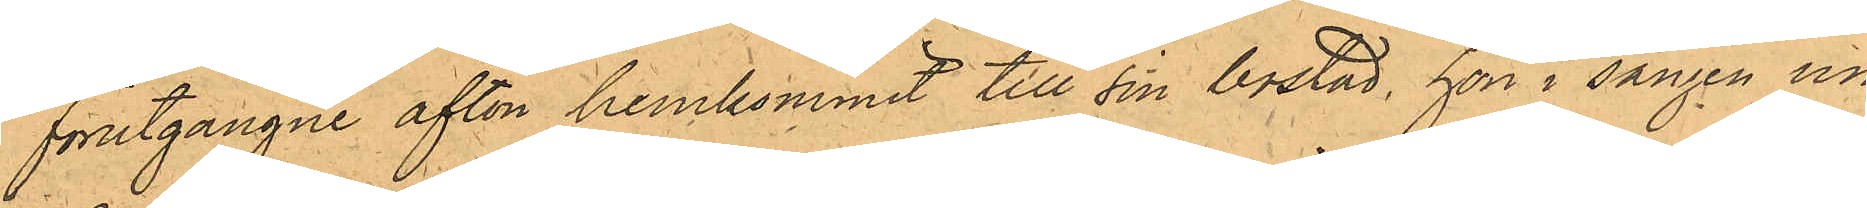förutgångne afton hemkommit till sin bostad, hon i sängen un¬
